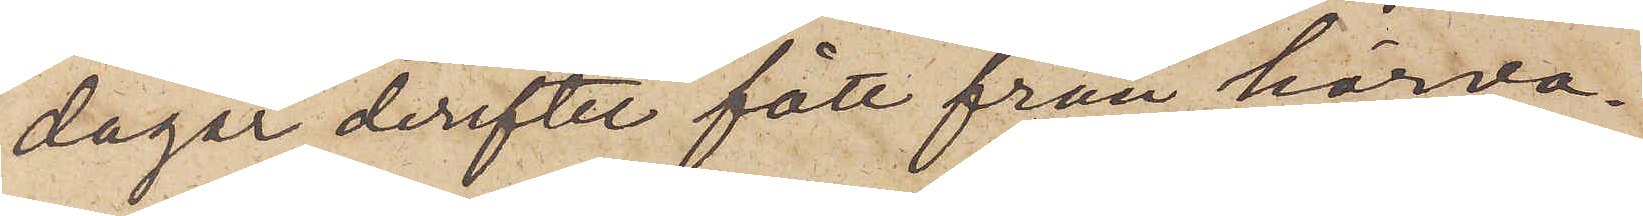dagar derefter fått från härva¬
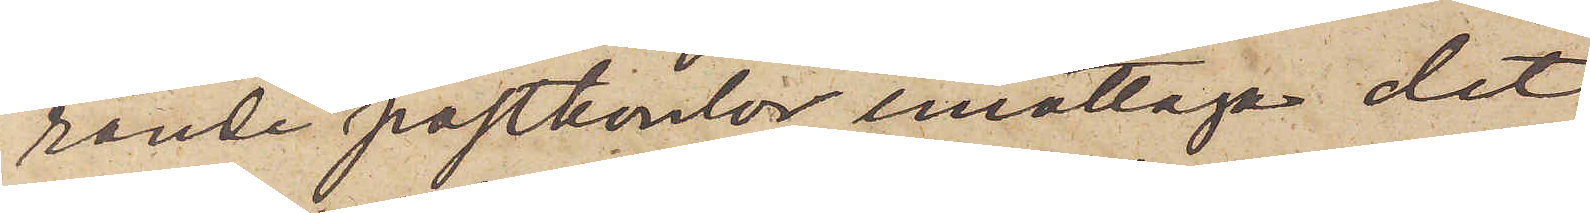rande postkontor emottaga det
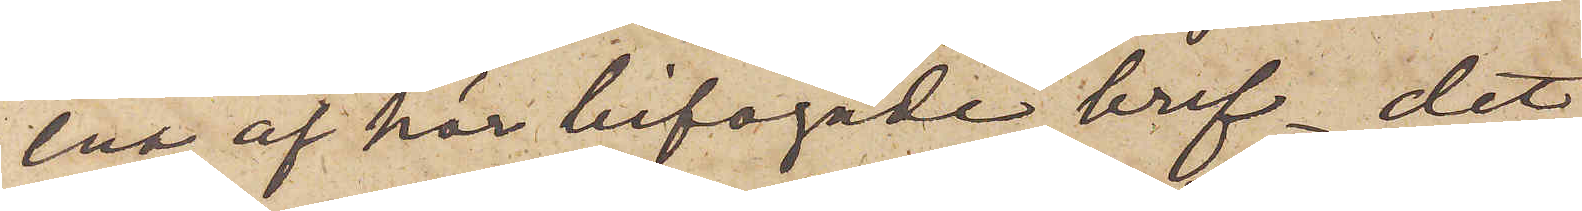ena af här bifogade bref, det
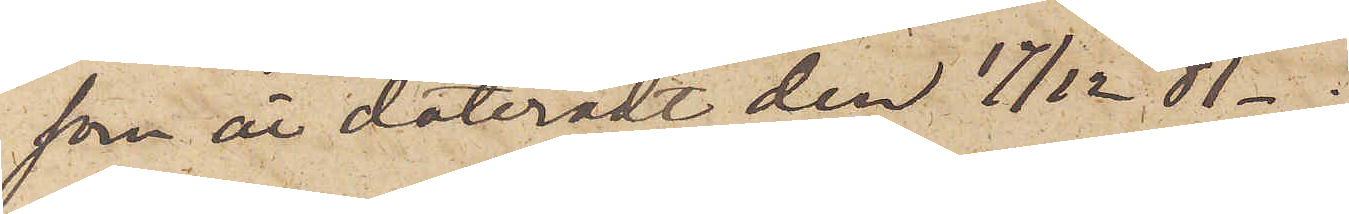som är dateradt den 17/12 81-;
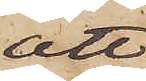att
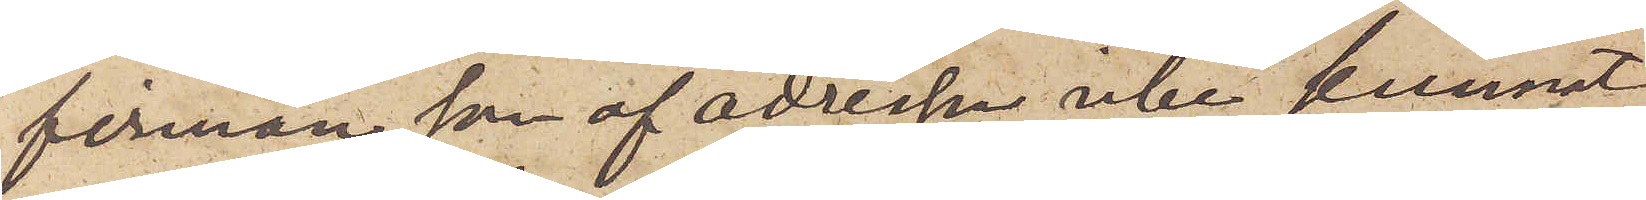firman som af adressen icke kunnat
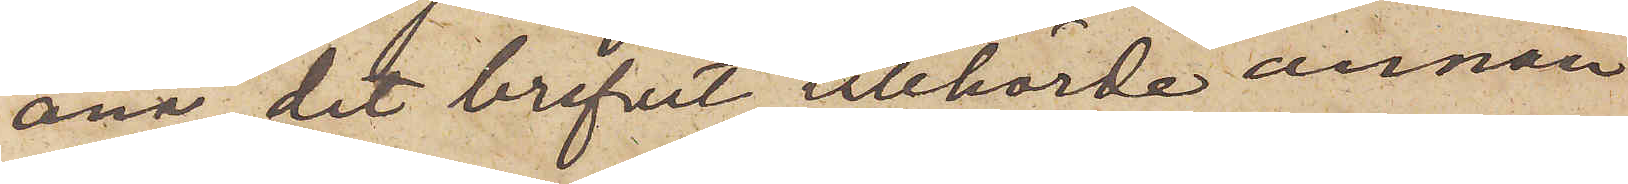ana, det brefvet tillhörde annan
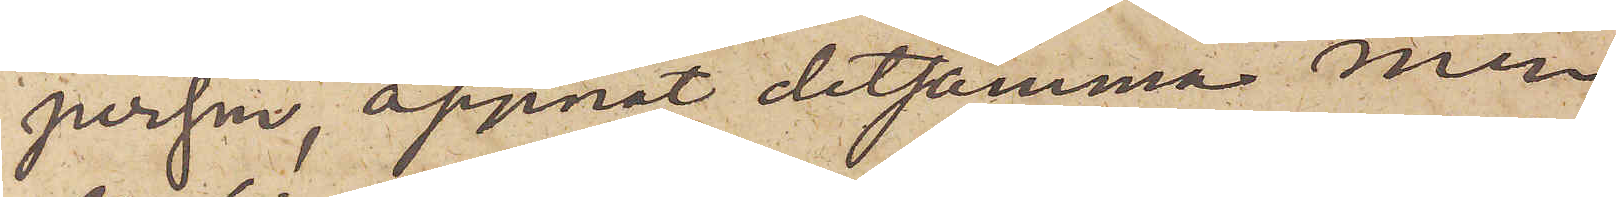person, öppnat detsamma, men
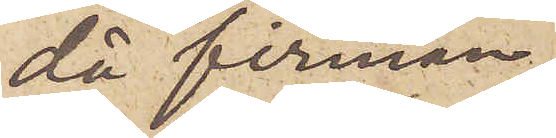då firman,
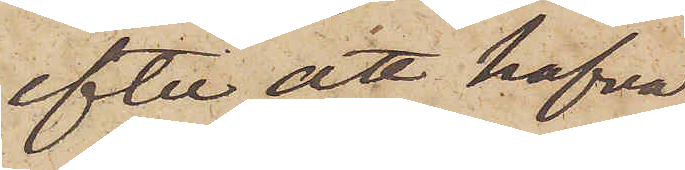efter att hafva
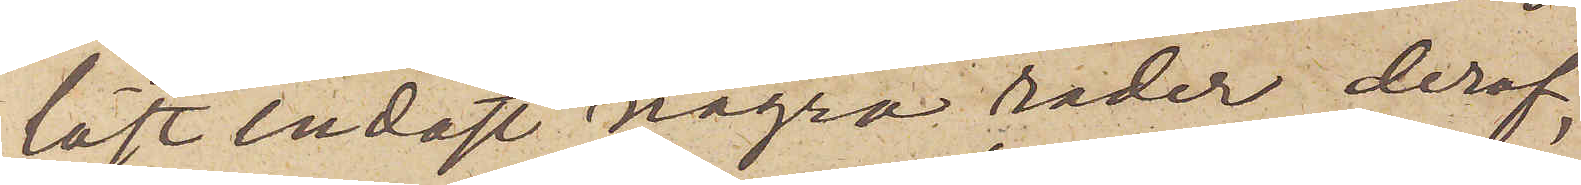läst endast några rader deraf,
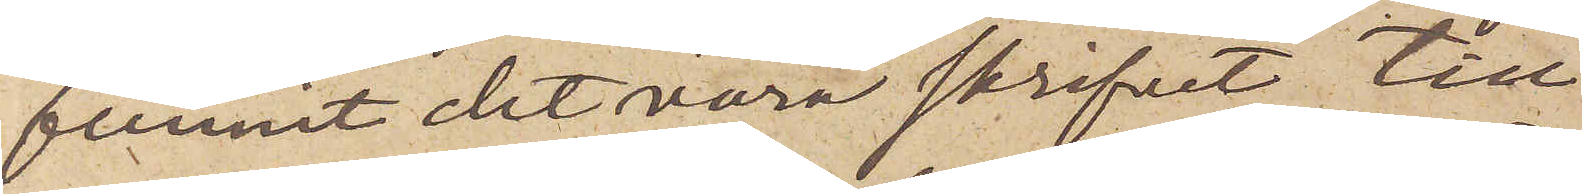funnit det vara skrifvet till
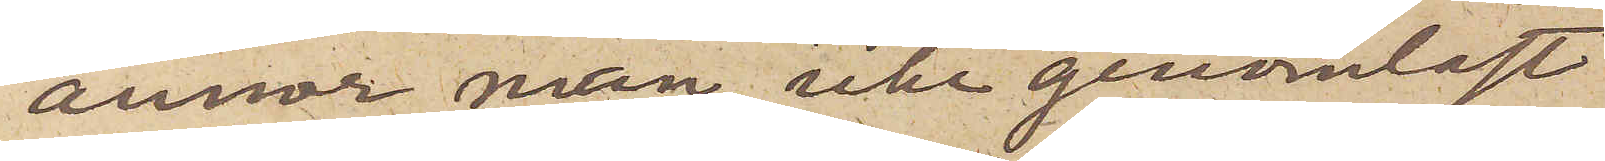annor man, icke genomläst
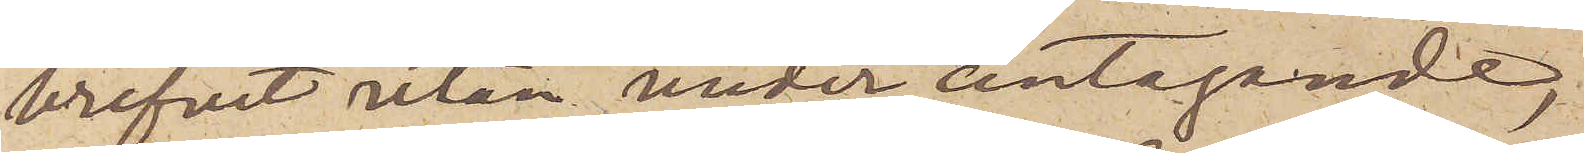brefvet utan under antagande,
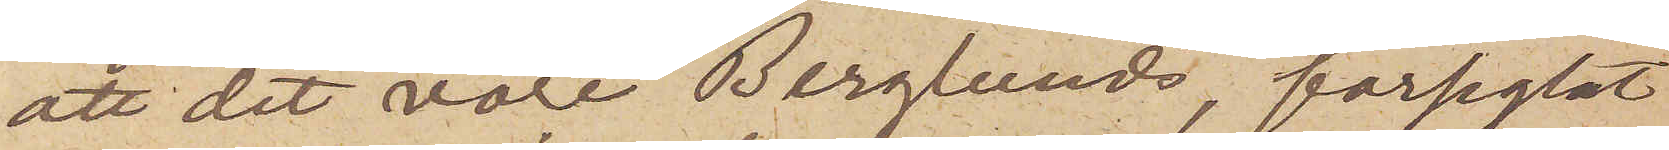att det vore Berglunds, förseglat
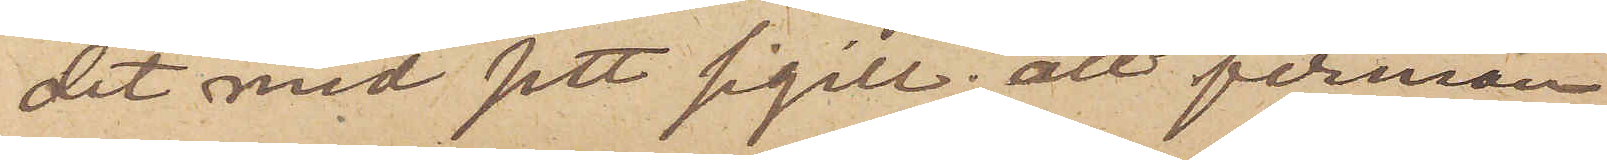det med sitt sigill; att firman
